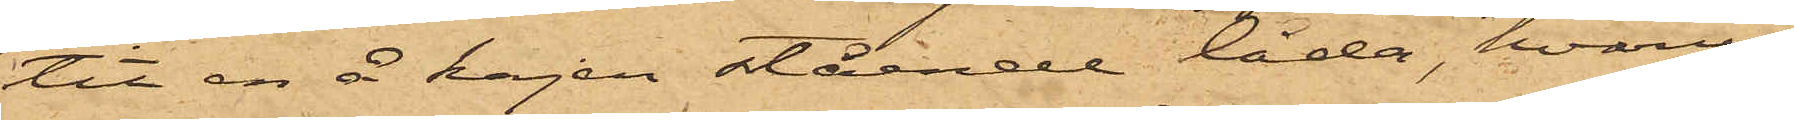tit en å kajen stående låda, hvarur
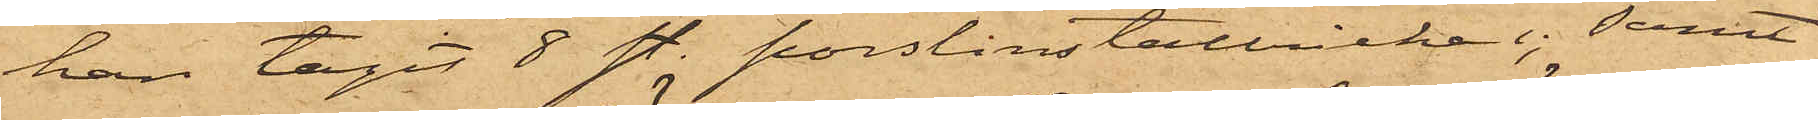han tagit 8 sty. porslinstallrikar; samt
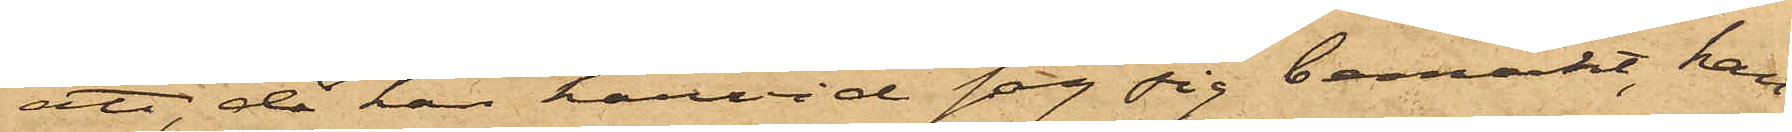att då han härvid såg sig bemärkt, han
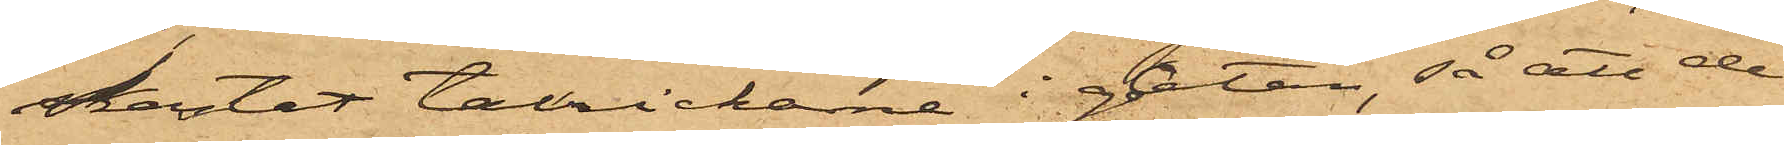kastat tallrikarne i gatan, så att de
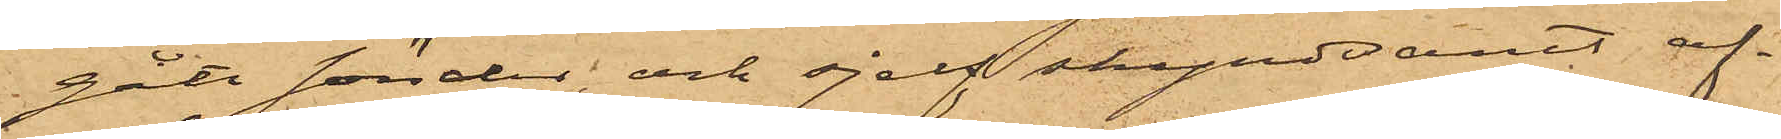gått sönder, och sjelf skyndsamt af¬
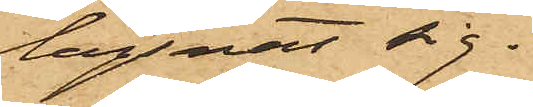lägsnat sig.
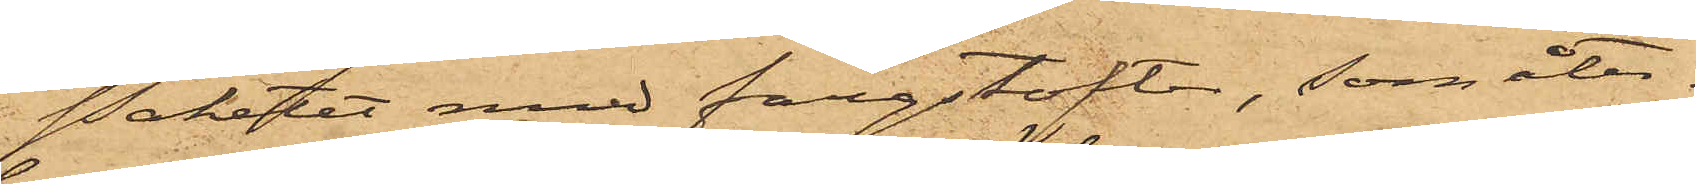Paketet med färgstofter, som åter¬
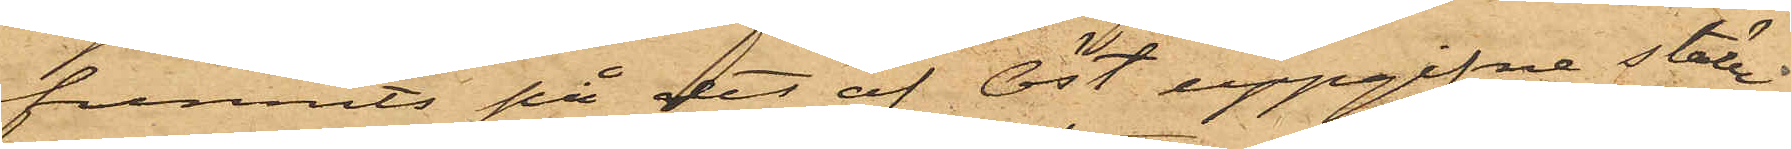funnits på det af Öst uppgifne ställe,
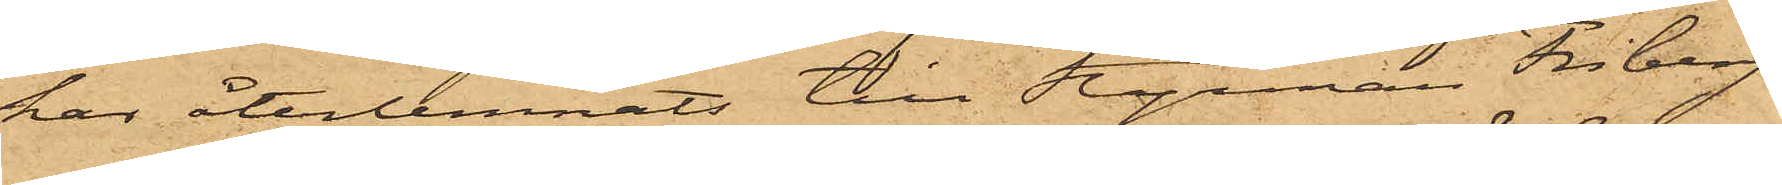har återlemnats till Styrman Friberg.
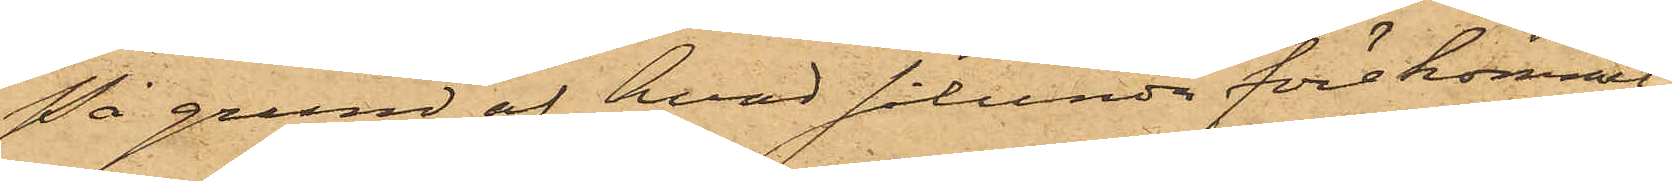På grund af hvad sålunda förekommit-
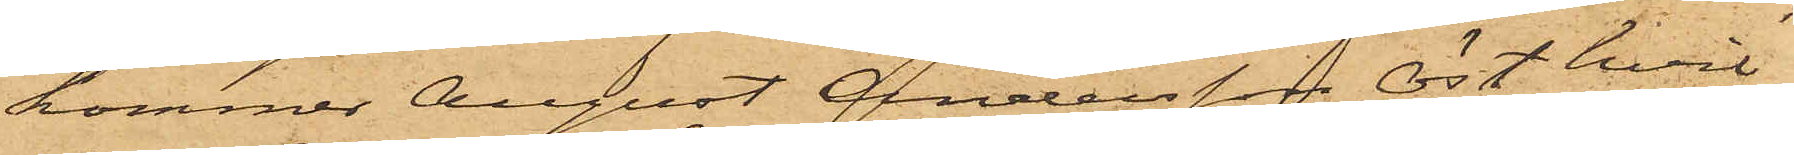kommer August Andersson Öst, hvil¬
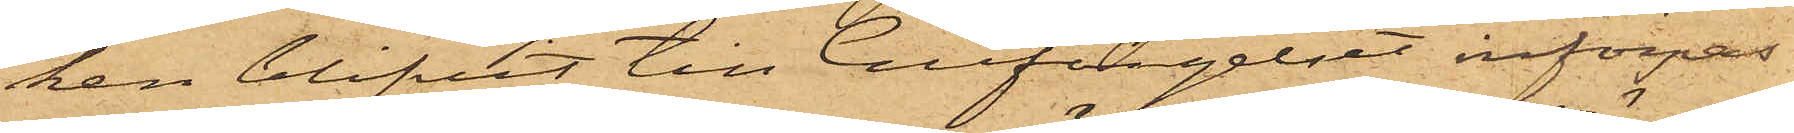ken blifvit till Cellfängelset införpas¬
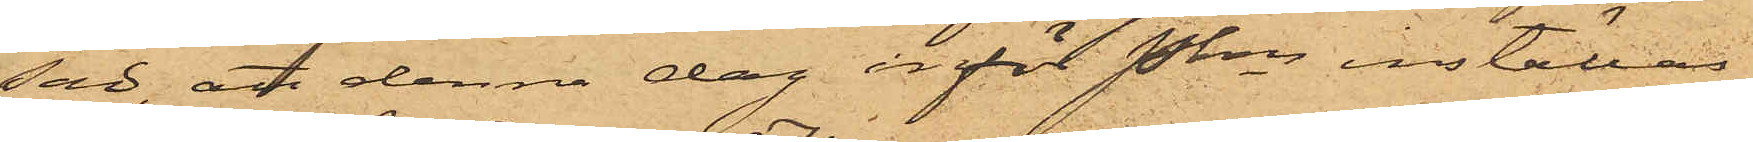sad, att denna dag inför Pkn inställas.
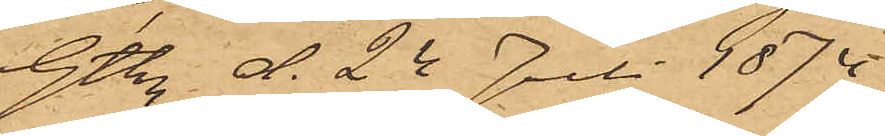Gtbg d. 24 Juli 1874.
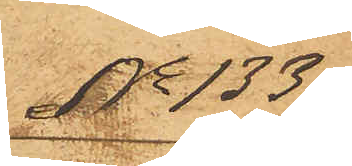No 133
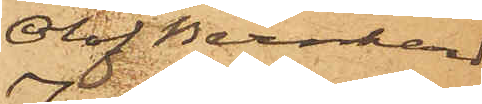Olof Bernhard
